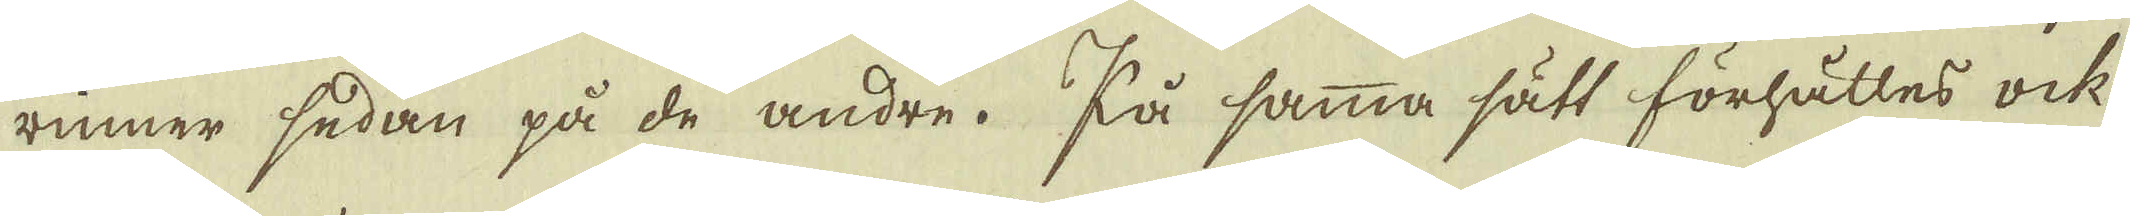rinner sedan på de andre. På samma sätt förhålles ock
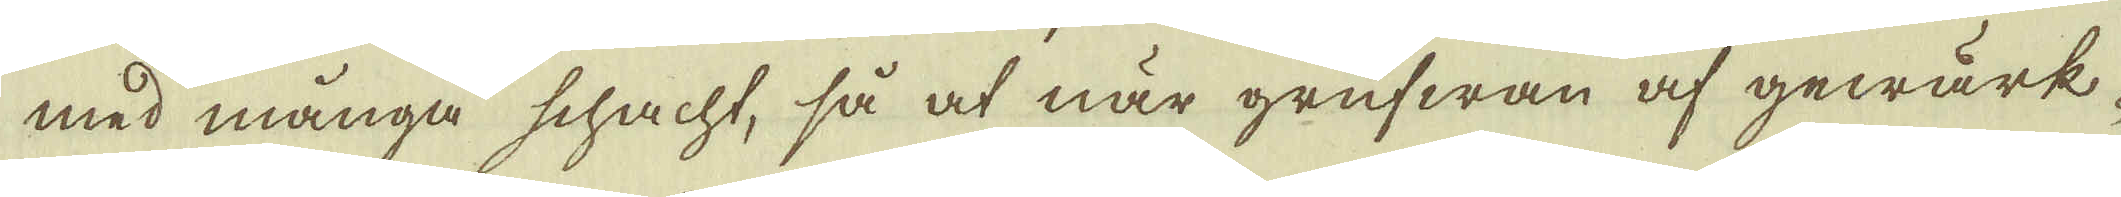med många schacht, så at när grufwan af gewärk-
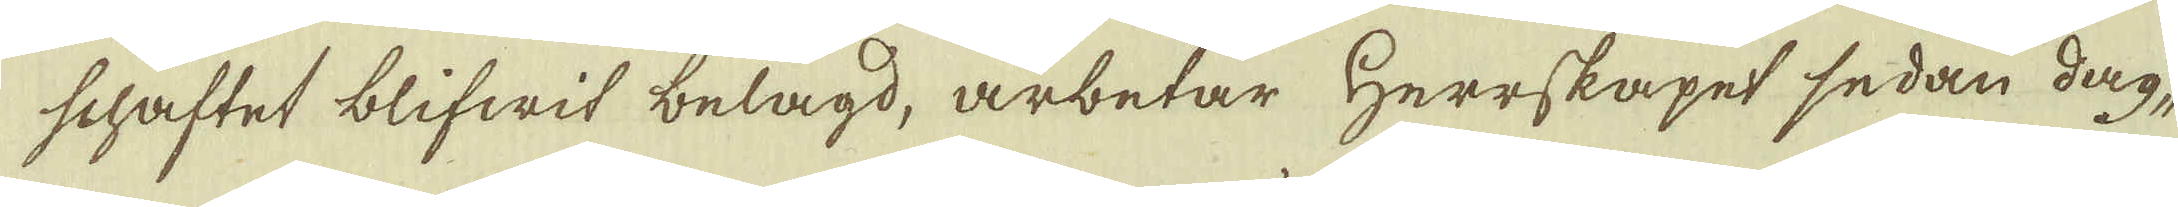schaftet blifwit belagd, arbetar Herrskapet sedan dag-
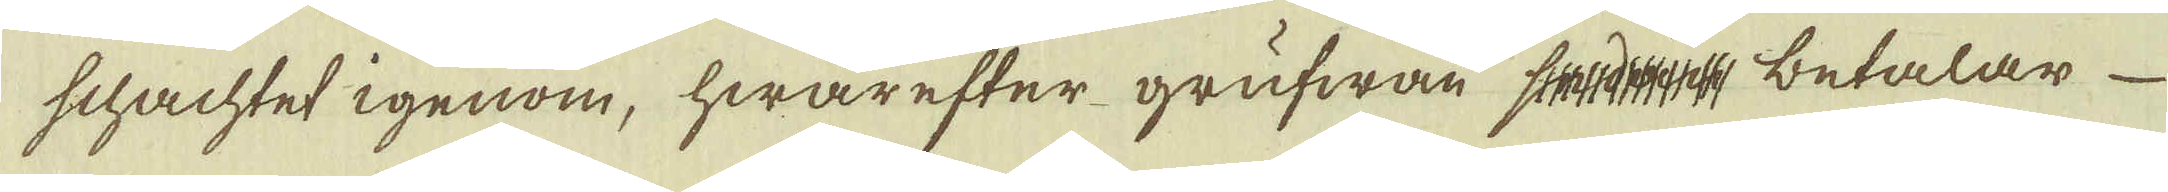schachtet igenom, hwarefter grufwan sedan betalar
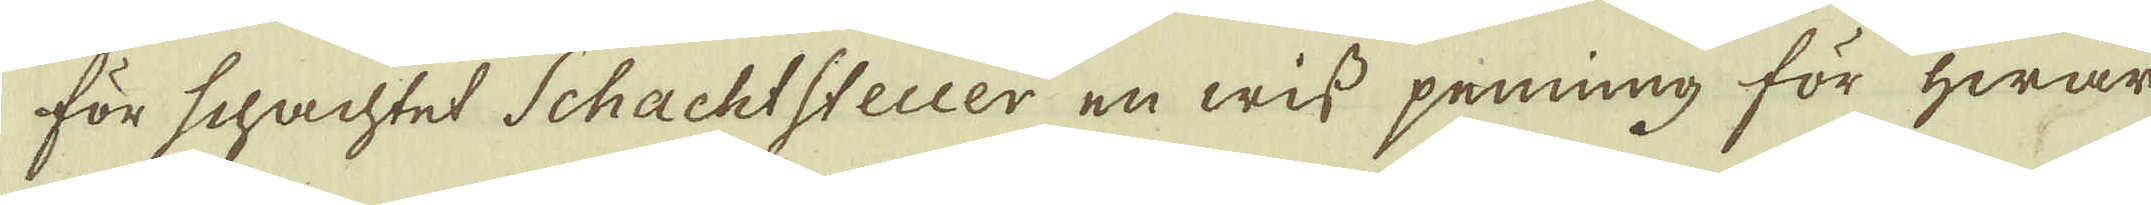för schachtet Schachtsteuer en wiss penning för hwar
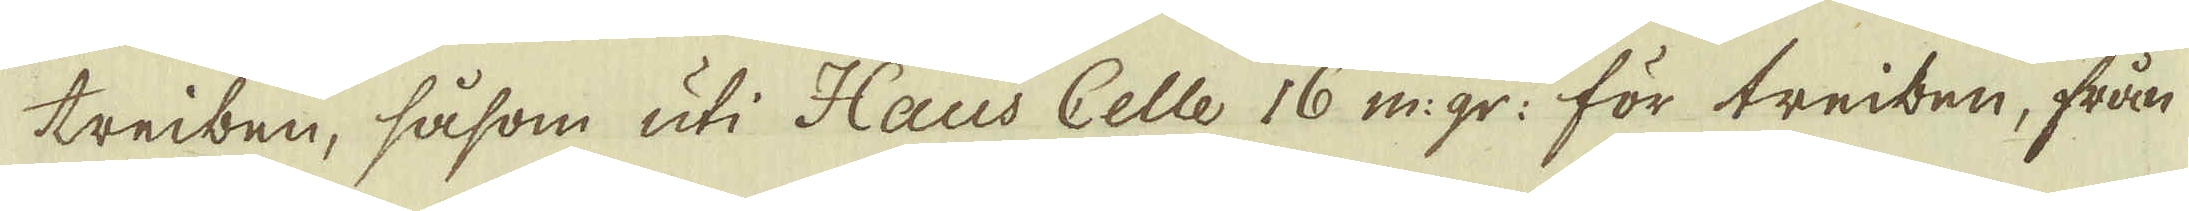treiben, såsom uti Haus Celle 16 m:gr: för treiben, från
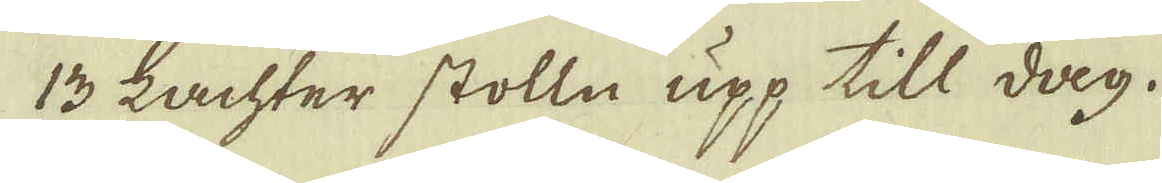13 Lachter stolln upp till dag.
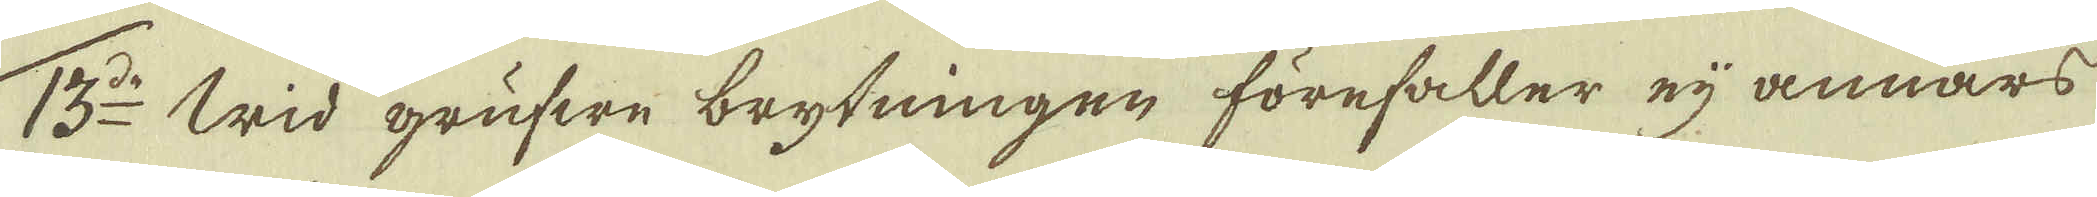13:do Wid grufwe brytningen förefaller eij annars
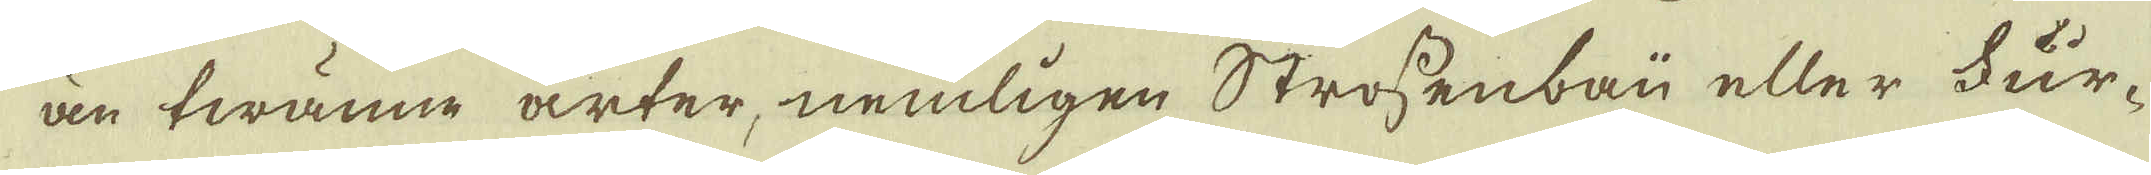än twanne arter, nemligen Strossenbau eller Für-
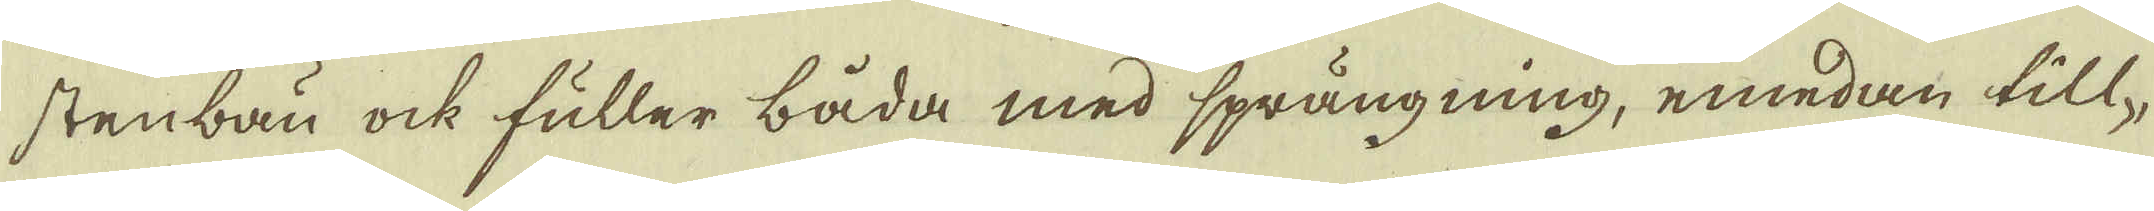stenbau ock fuller båda med sprängning, emedan till-
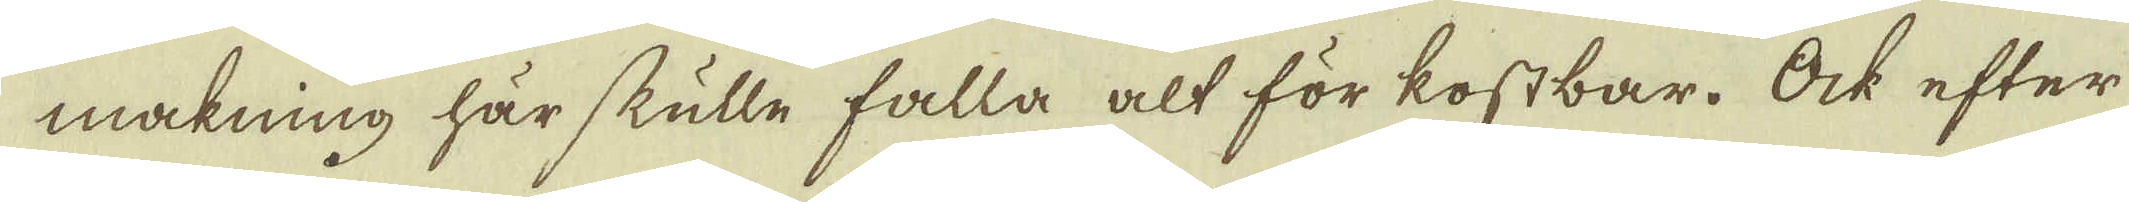makning här skulle falla alt för kostbar. Ock efter
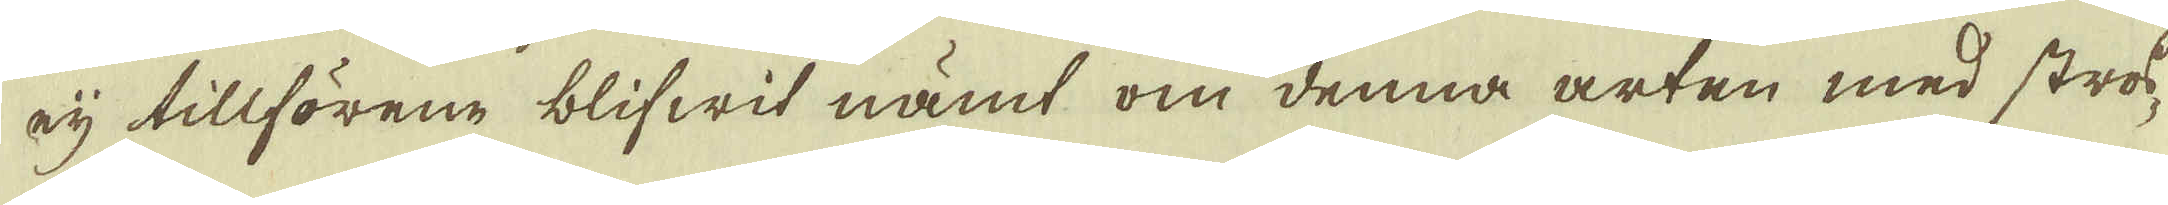eij tillförene blifwit nämt om denna arten med stros-
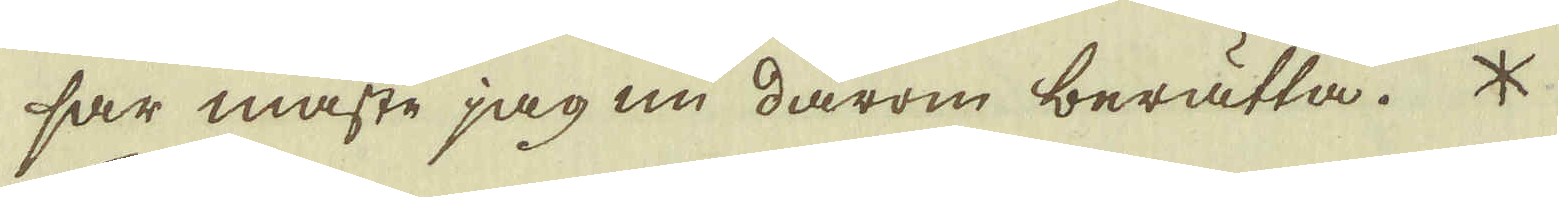sar måste jag nu därom berätta. *
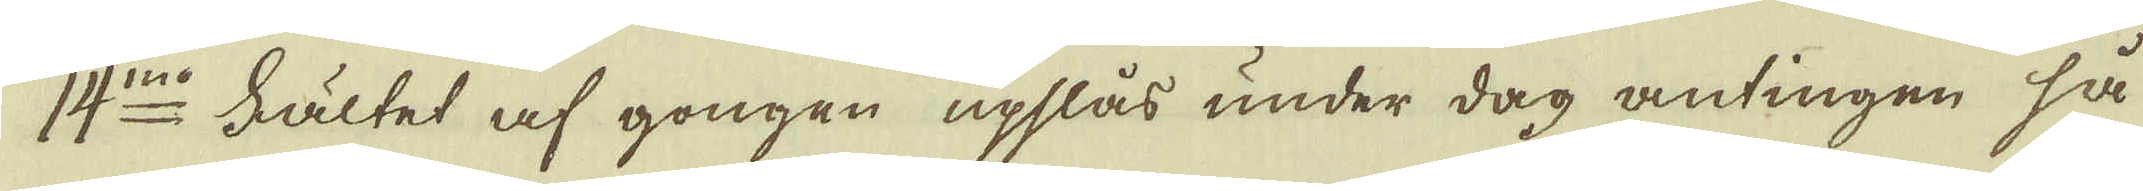14:mo Fältet af gongen upslås under dag antingen så
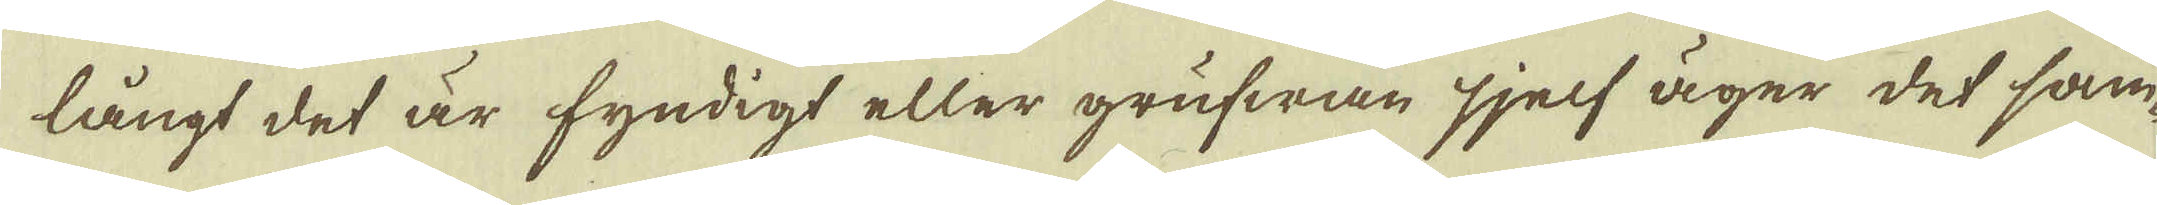långt det är fyndigt eller grufwan sjelf äger det sam-
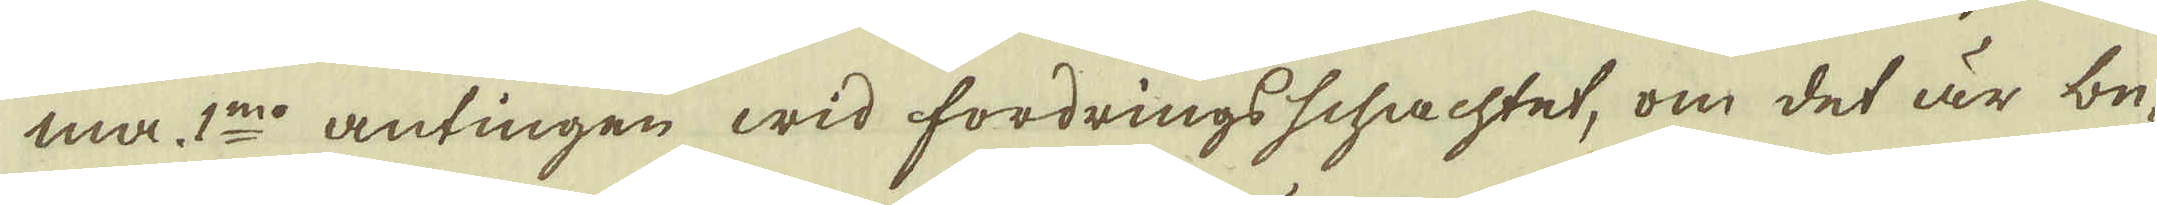ma 1:mo antingen wid fordrings schachtet, om det är be-
